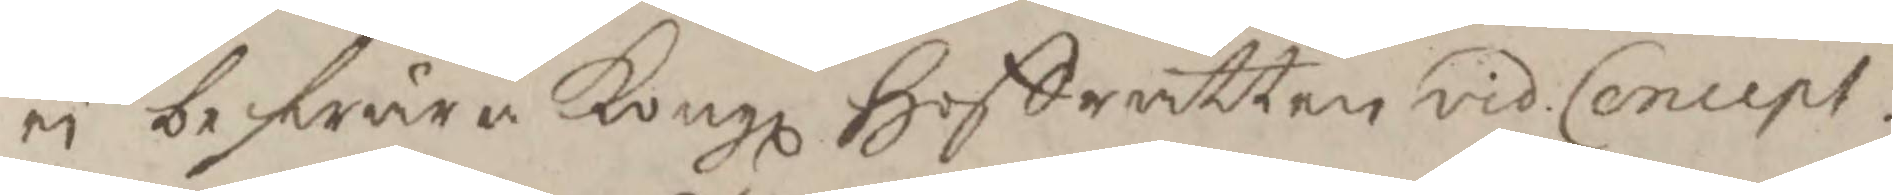ei beswära Kongl Hoffrätten vid Concept.
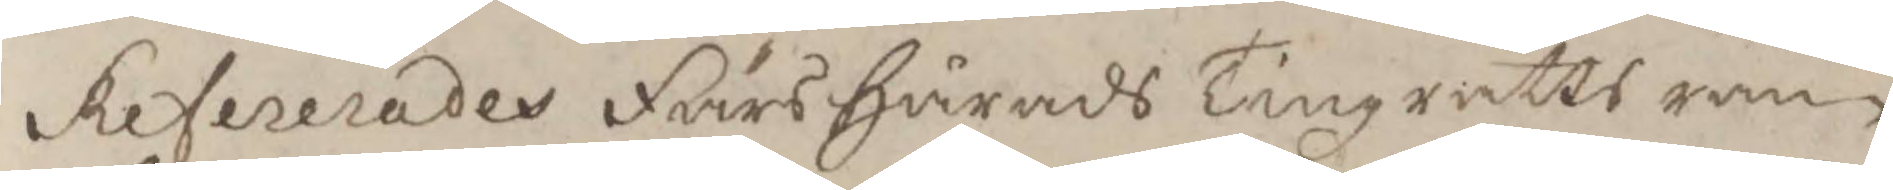refererades Fårs Härads Tingzrätts ran¬
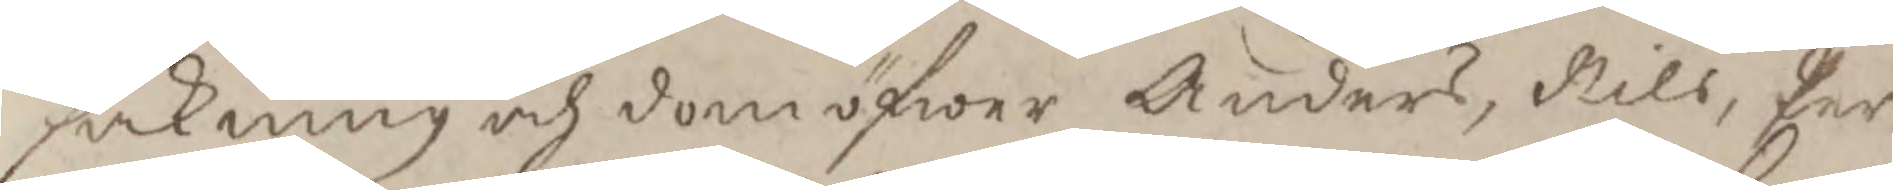sakning och dom öfwer Anders, Nils, Per
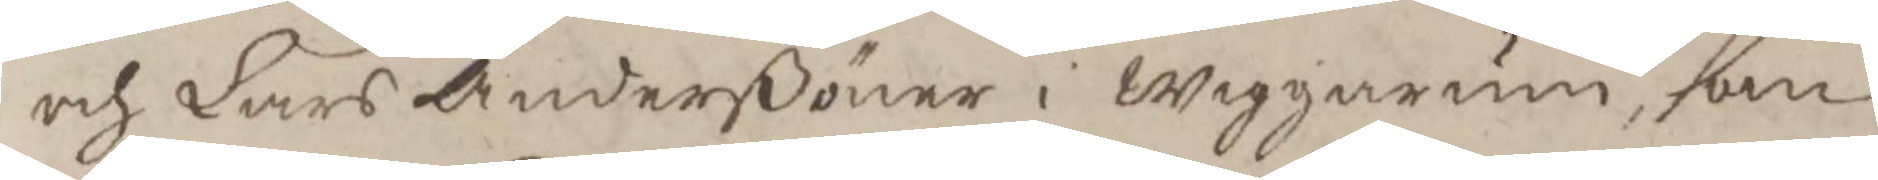och Lars Anderßöner i Wiggarum, dom
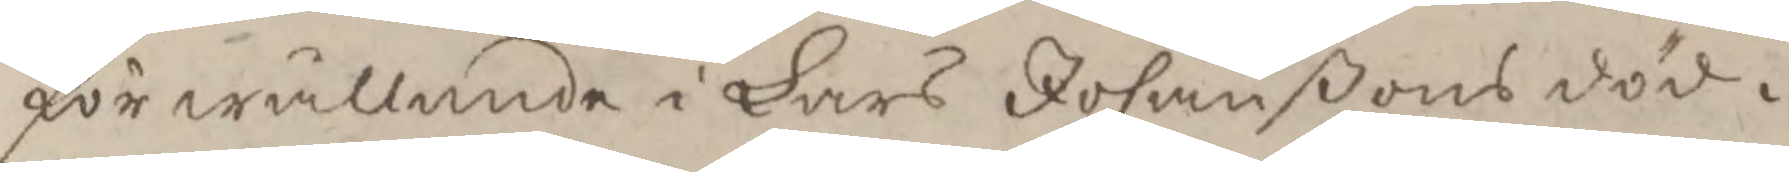för wållande i Lars Johanßons död i
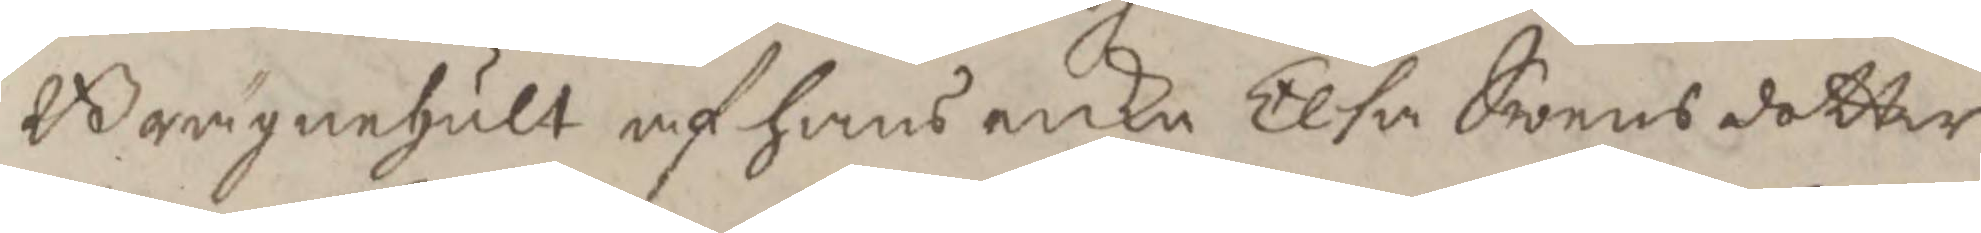Brägnehult af hans enka Elsa Swensdotter
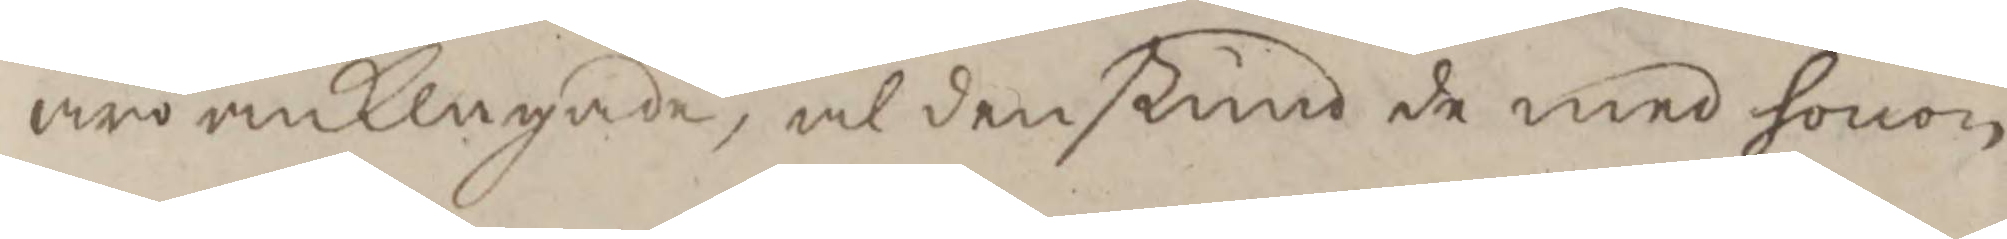äro anklagade, alden stund de med honom
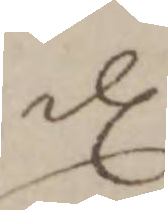dl
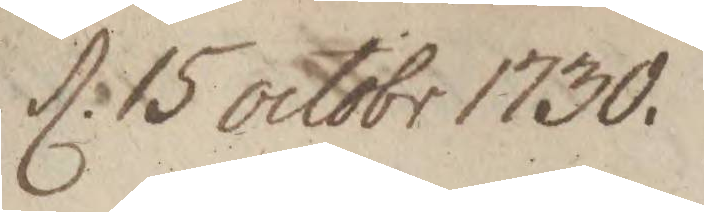d. 15 octobr 1730.
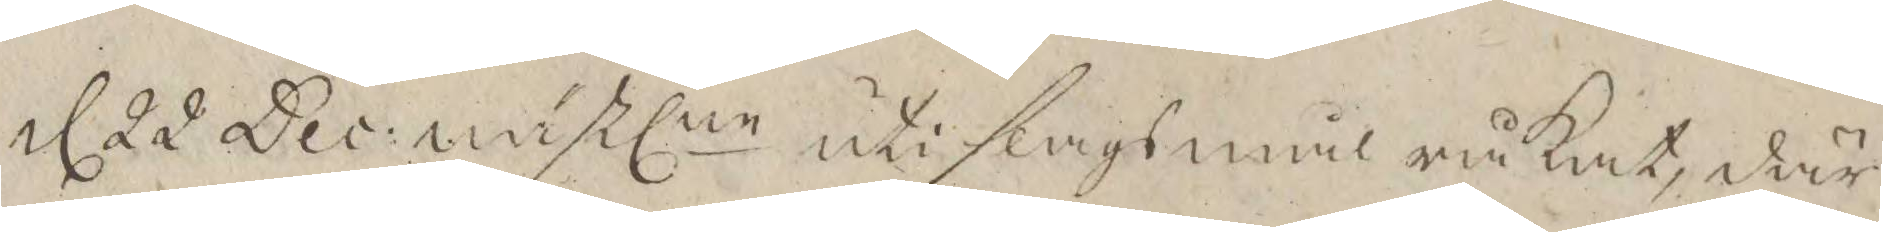d 22 Dec: nästlne uti slagsmål råkat, där¬
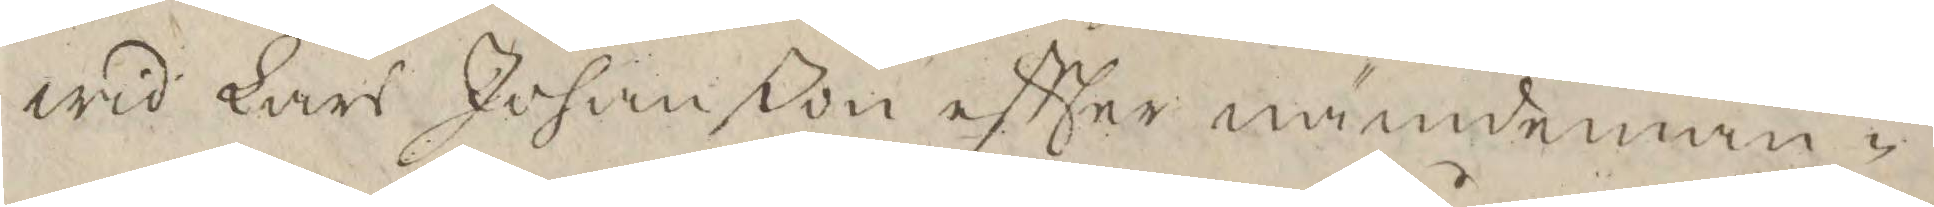wid Lars Johanßon eftter nämndeman¬
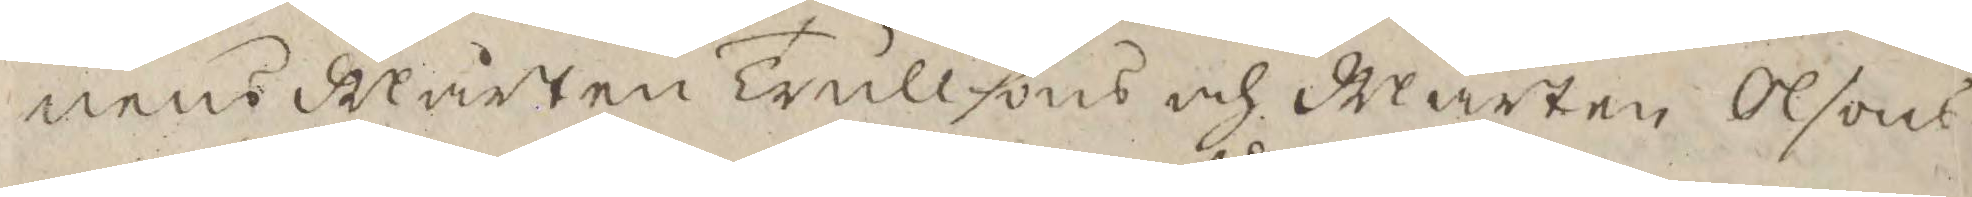nens Mårten trullsons och Mårten Olsons
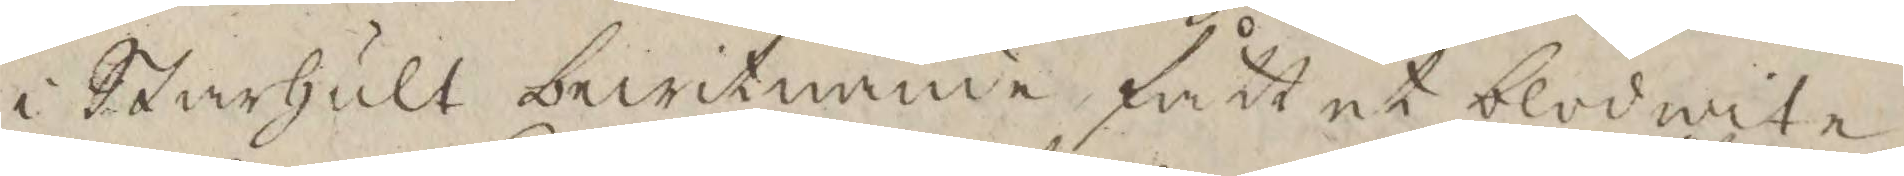i Starhult bewitnande fått et blodwite
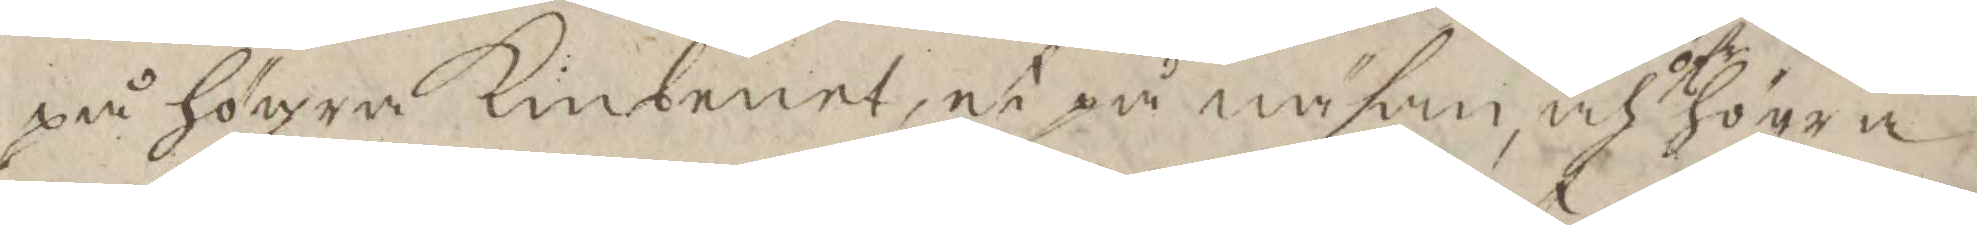på högra Kinbenet, et på näsan öfr högra
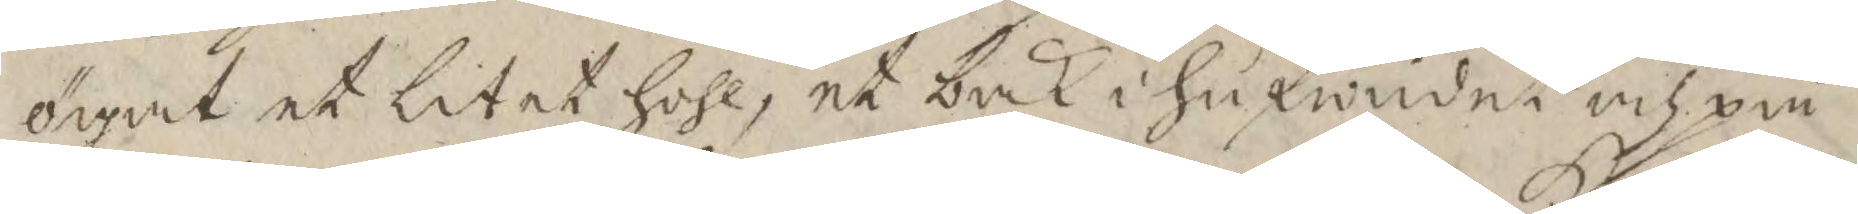ögat et litet hohl, et bak i hufwudet och på
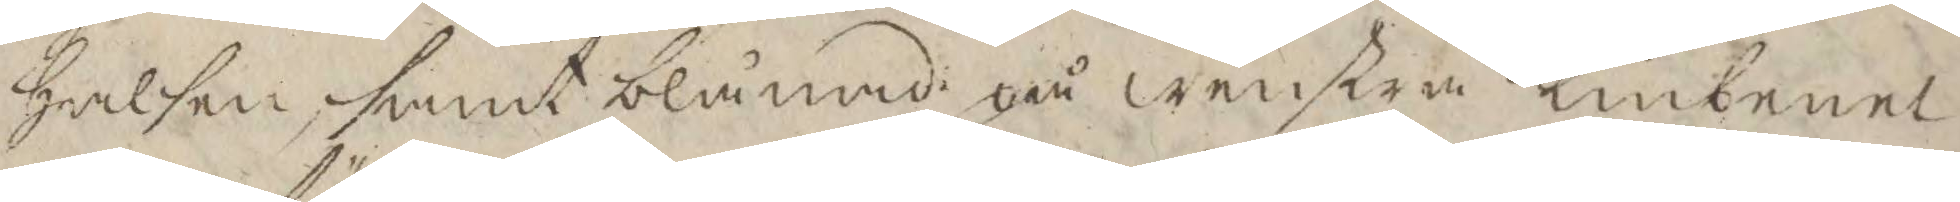halsen, samt blånad på wenstra Kinbenet
